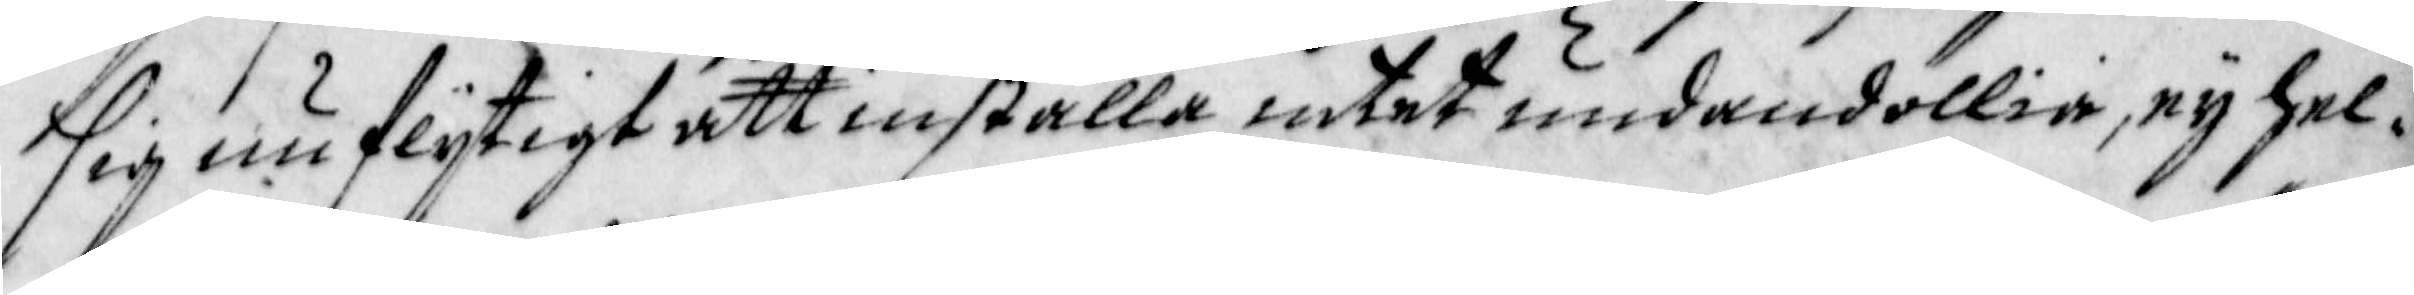sig nu flijtigt att inställa, intet undandöllia, ey hel¬
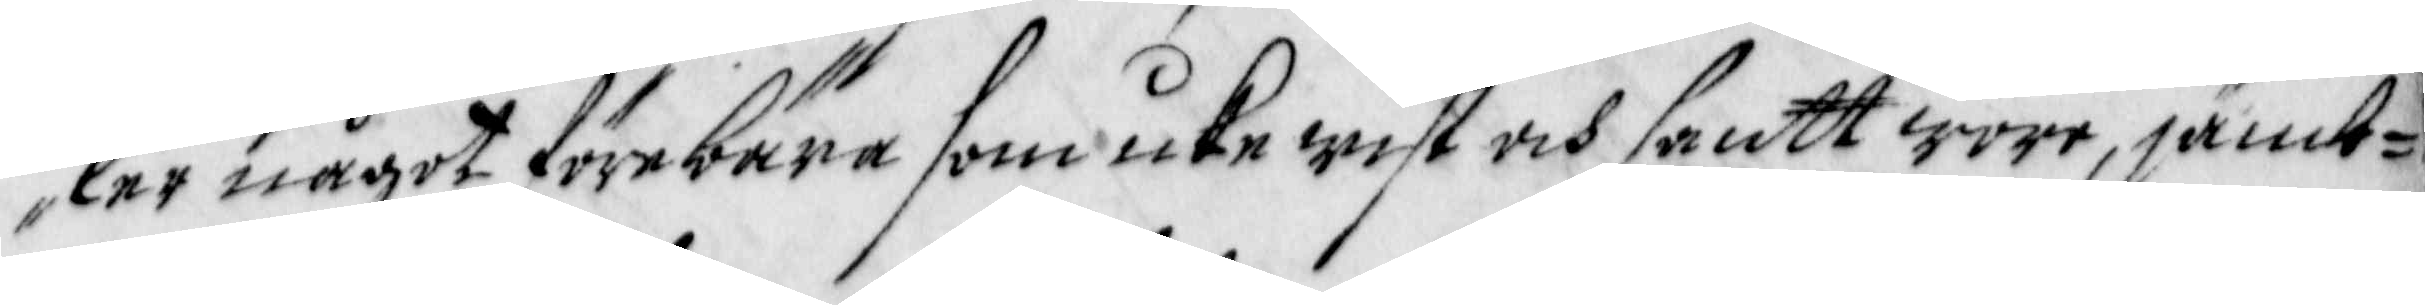ler något förebära som icke wist och santt wore, jämb¬
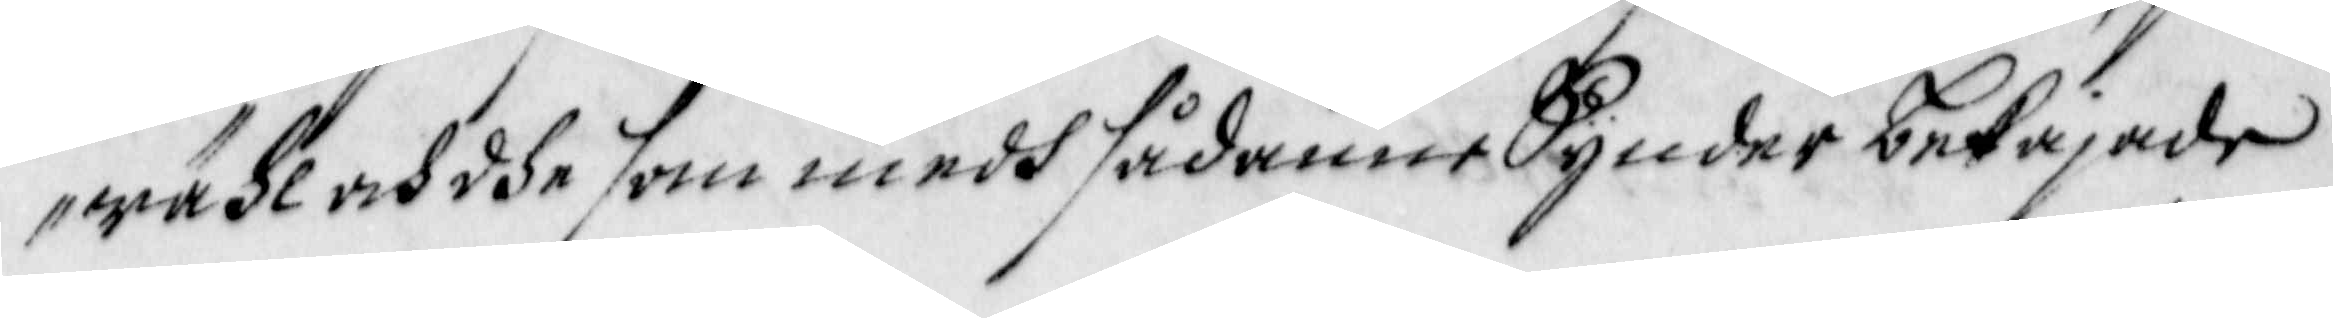wähl och dhe som medh sådanne Synder bekajade
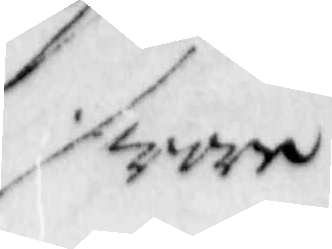wore
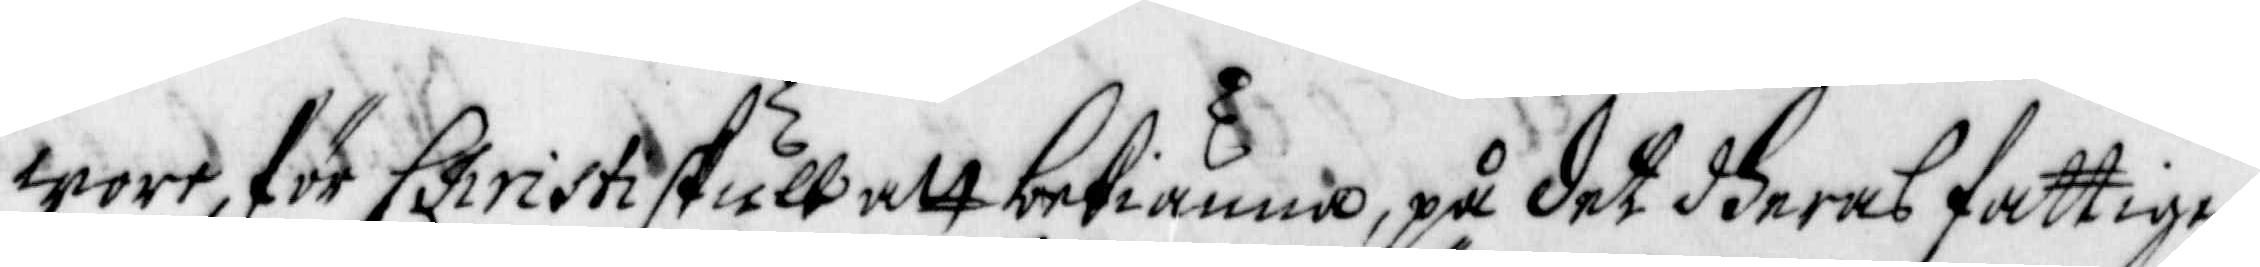wore, för Christi skull att bekiänna, på det dheras fattige
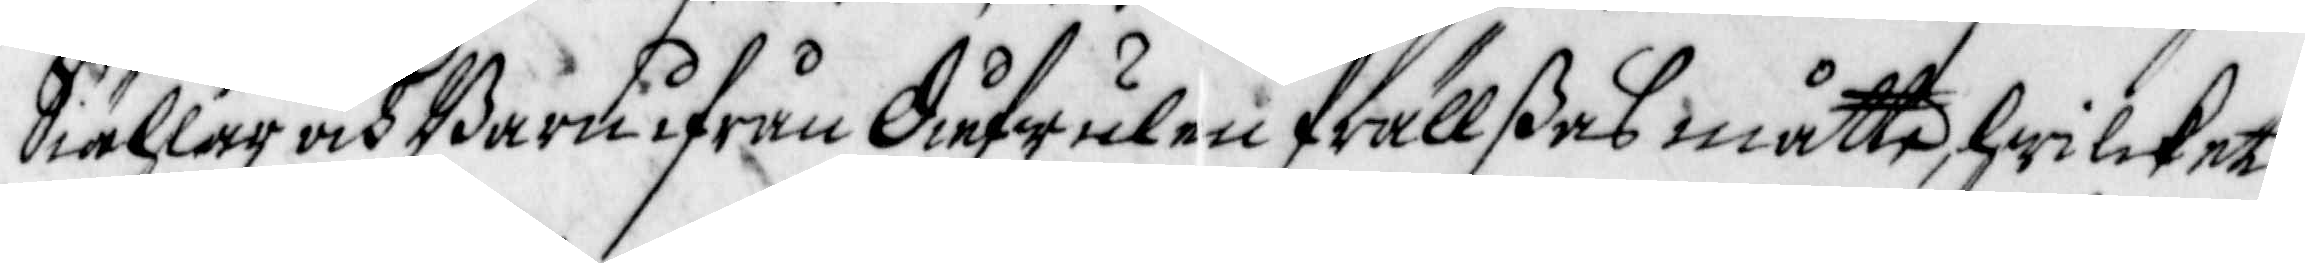Siählar och Barn ifrån Diefwulen frällßes måtte, hwilcket
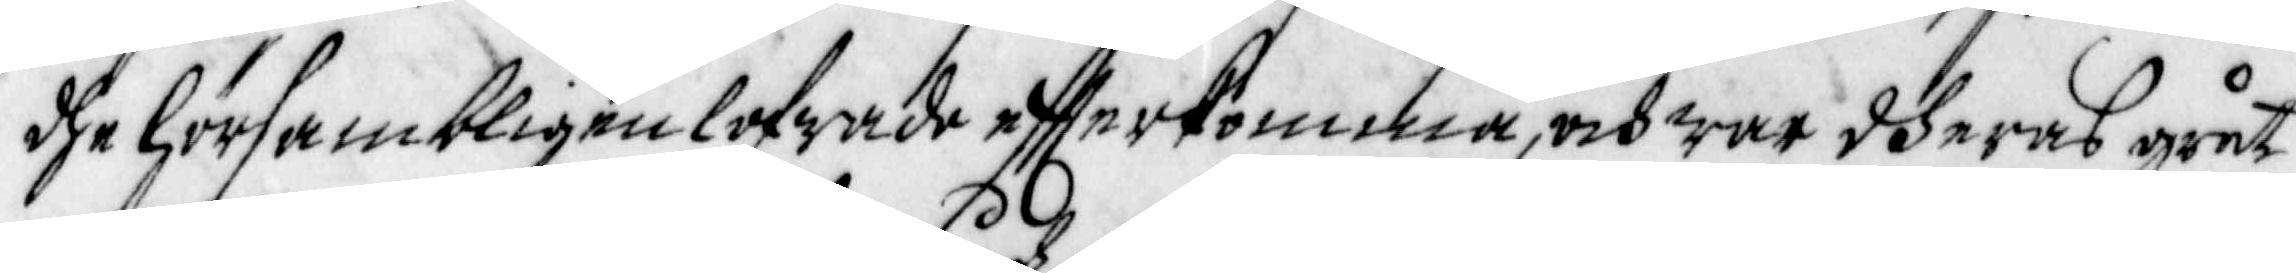dhe hörsambligen lofwade effterkomma, och war dheras gråt
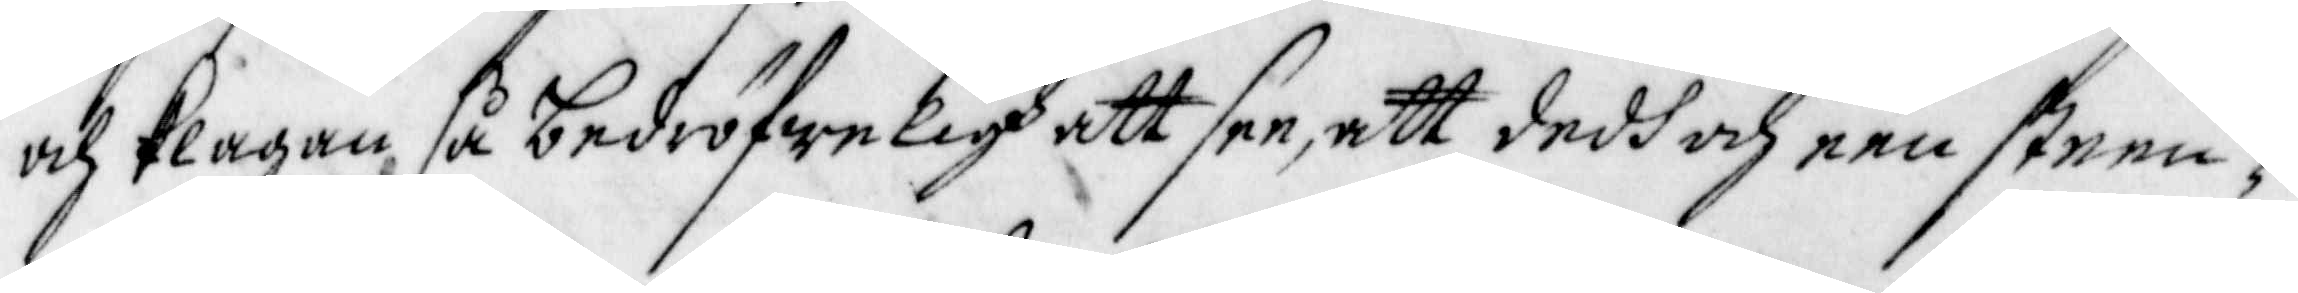och klagan, så bedröfweligh att see, att dedh och een steen¬
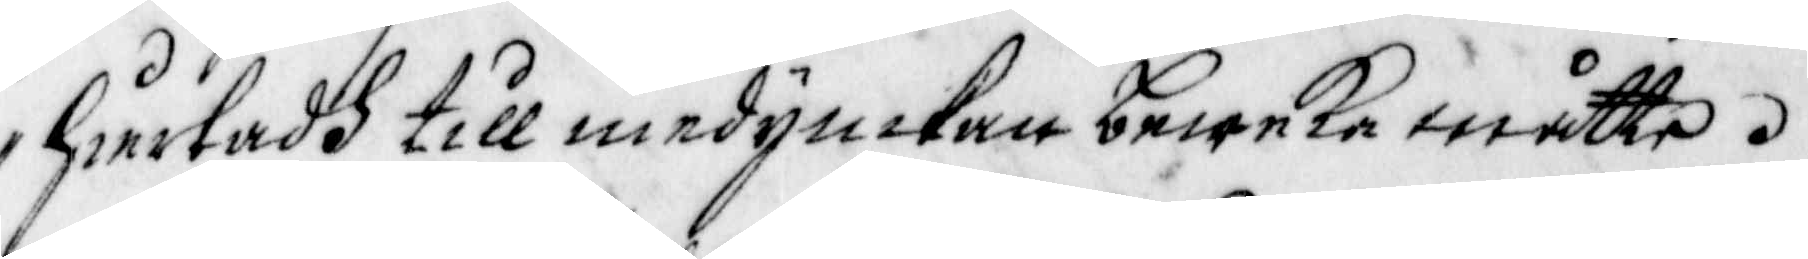hiertadh till medymkan beweka måtte.
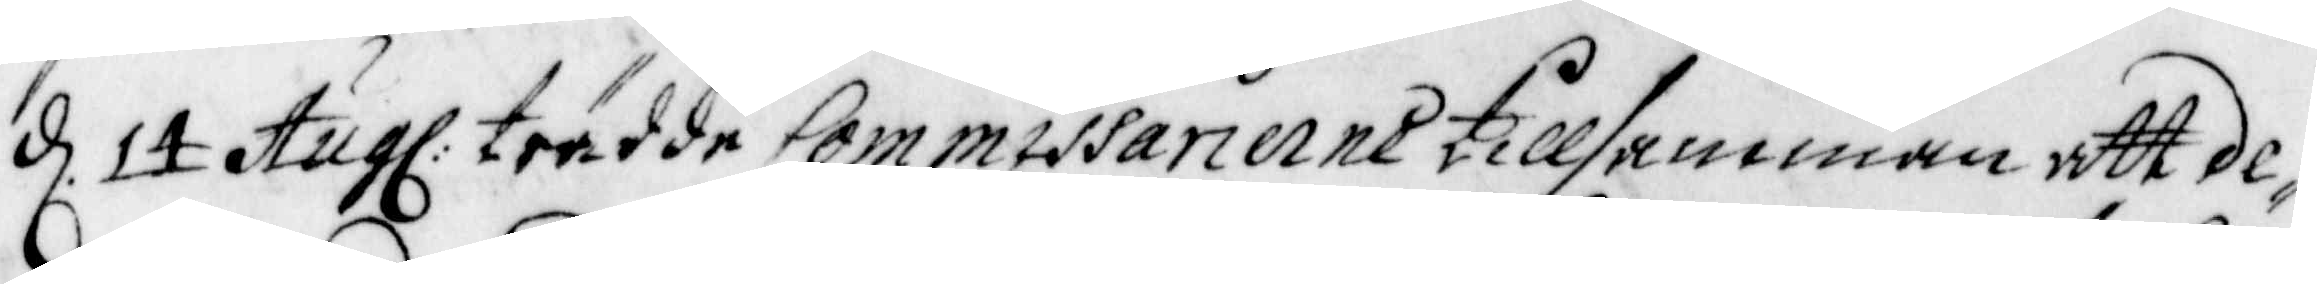d. 14 Aug: trädde Commissarierne tillsamman att de¬
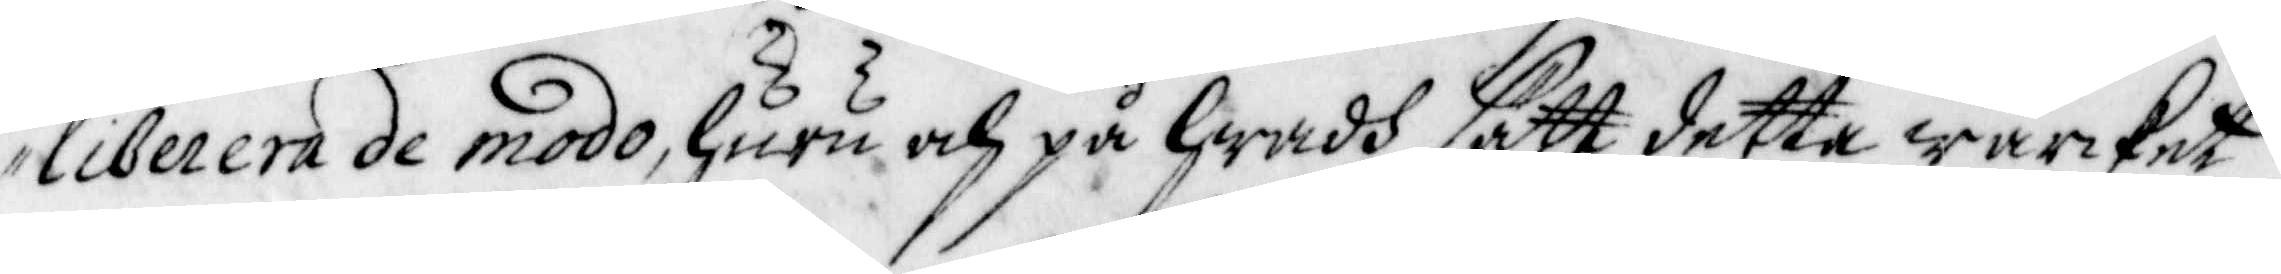liberera de modo, huru och på hwadh sätt detta wärcket 
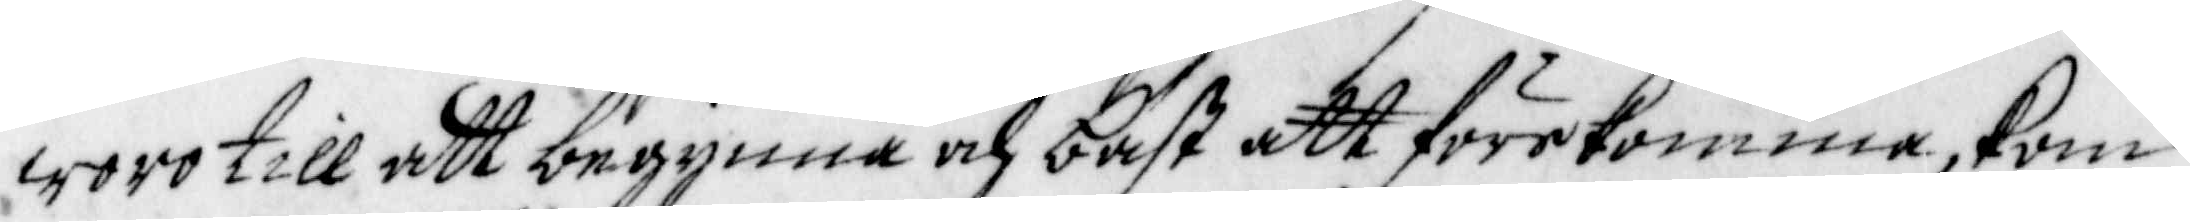woro till att begynna och bäst att förekomma, kom 
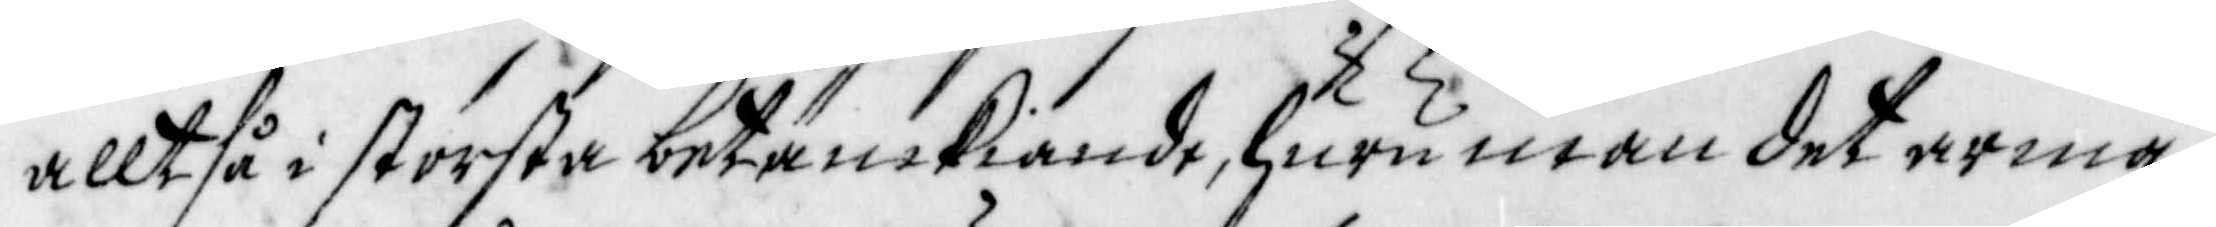alltså i största betänckiande, huruman det arma 
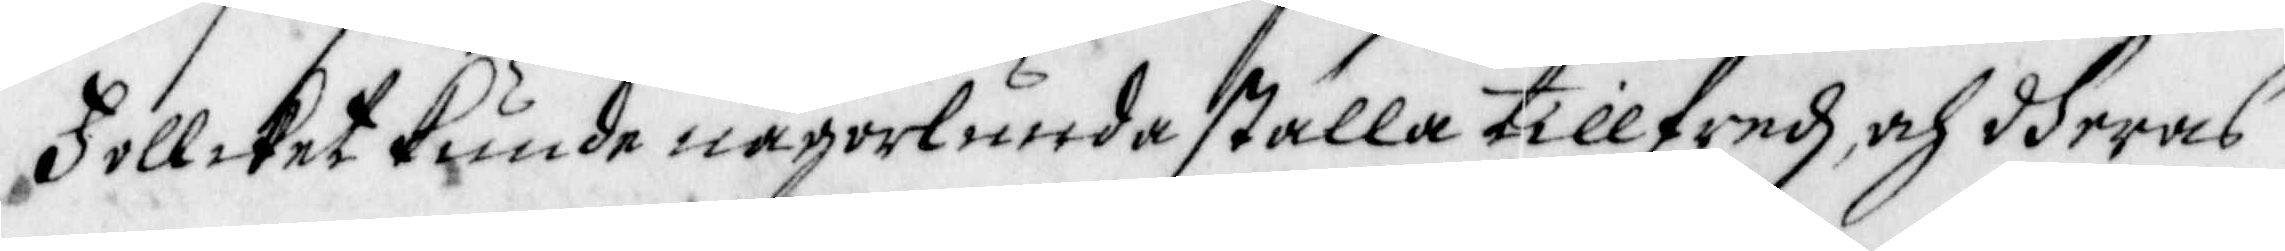Follcket kunde någorlunda ställa tillfredz och dheras 
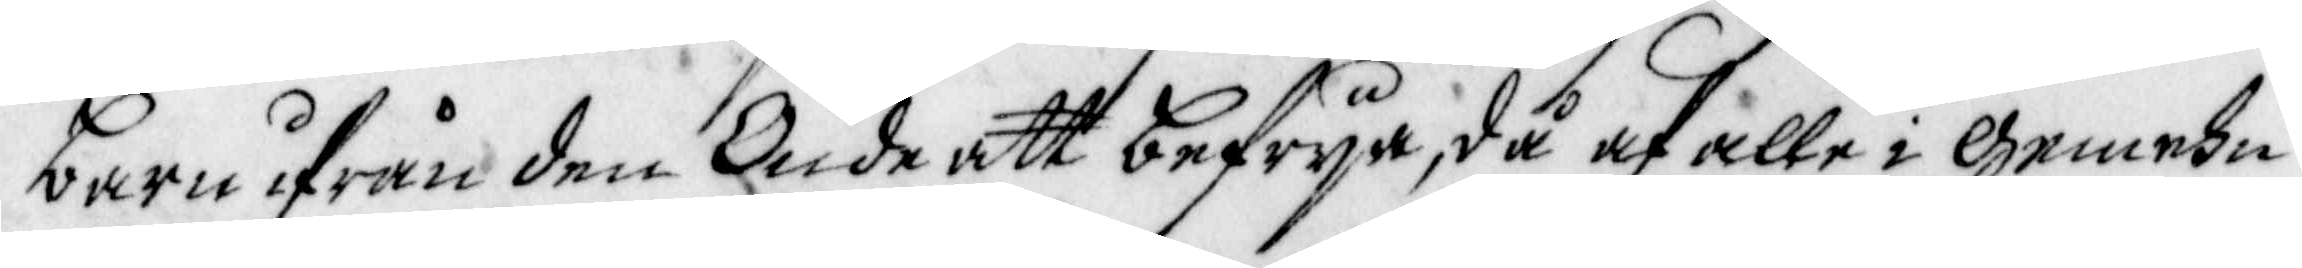barn ifrån den Onde att befrija, då af alle i Gemehn 
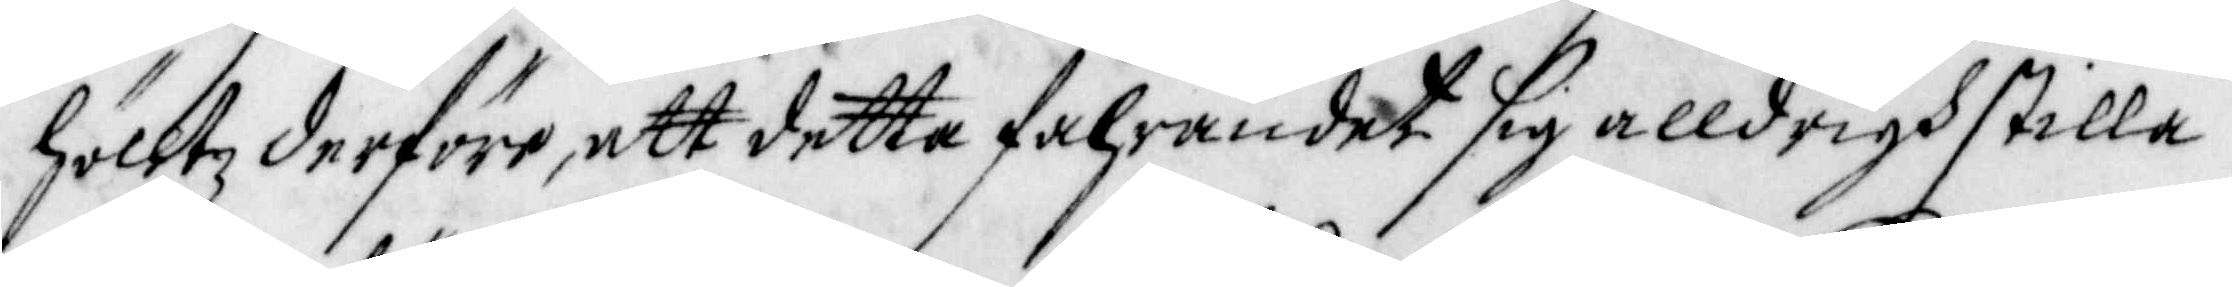hölltz derföre, att detta fahrandet sig alldrigh stilla
